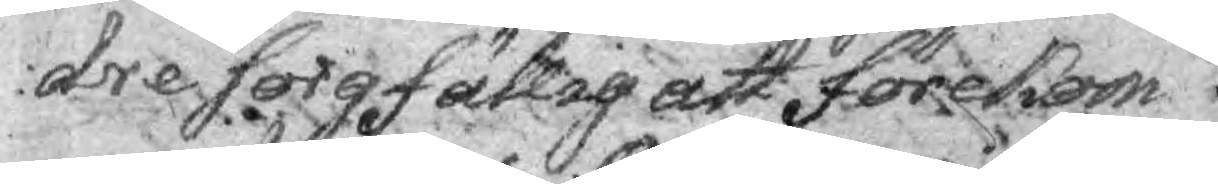dre sorgfällig att förekom¬
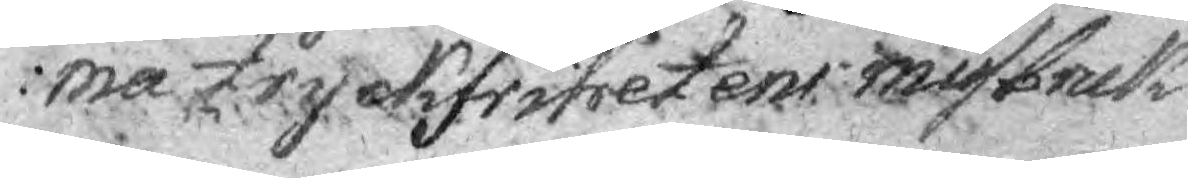ma Tryckfrihetens misbruk
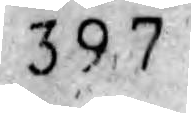327
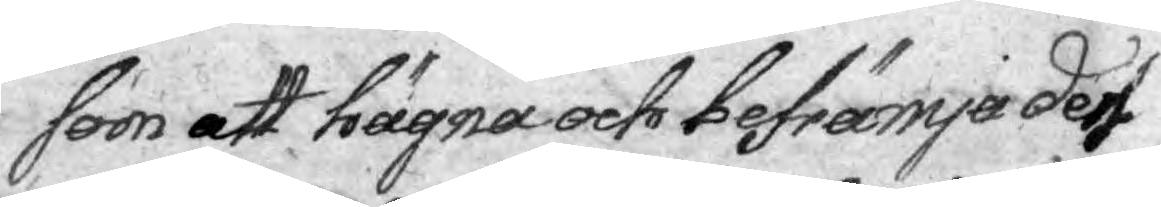som att hägna och befrämja den
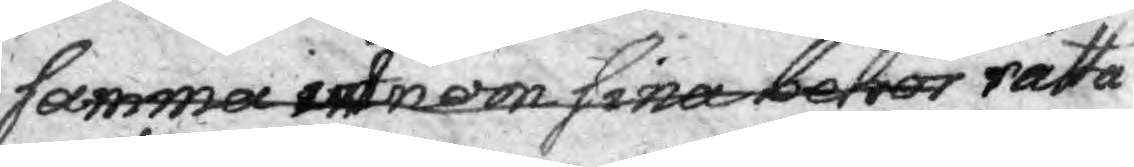samma utom sina behov rätta
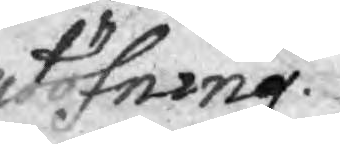utöfning.
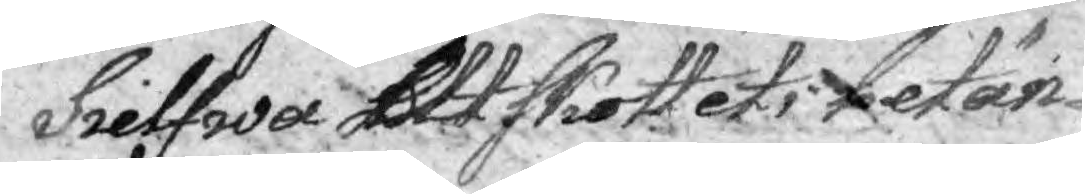Sielfwa Utskottets betän¬
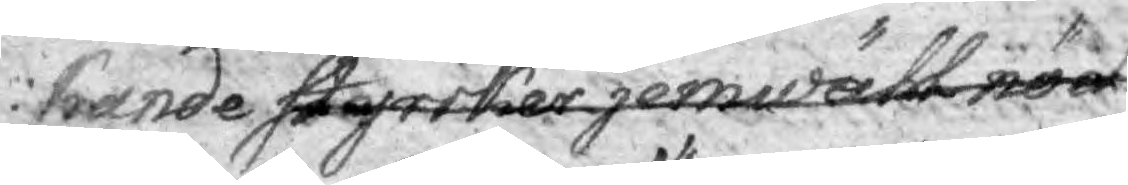kande så yrrkar jemwähl nöd¬
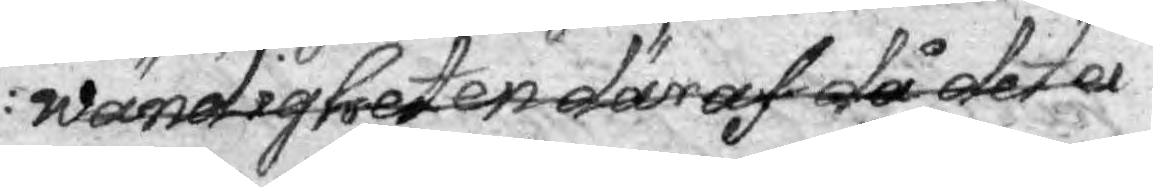wändigheten däraf då det ei
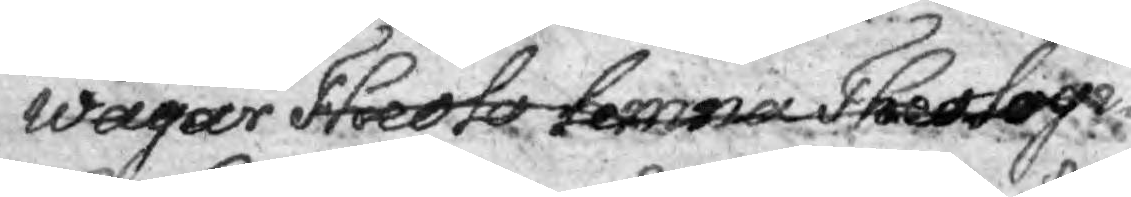wågar Theolo lemna Theologi¬
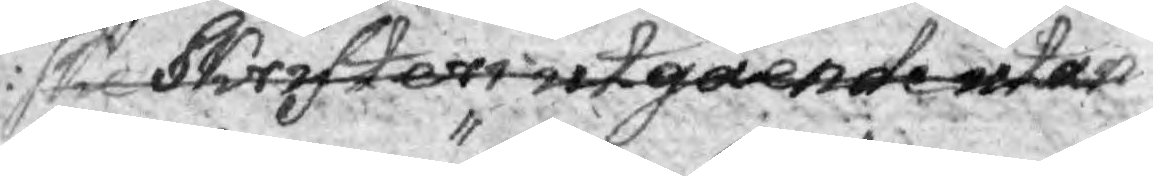ske Skrifters utgående utan
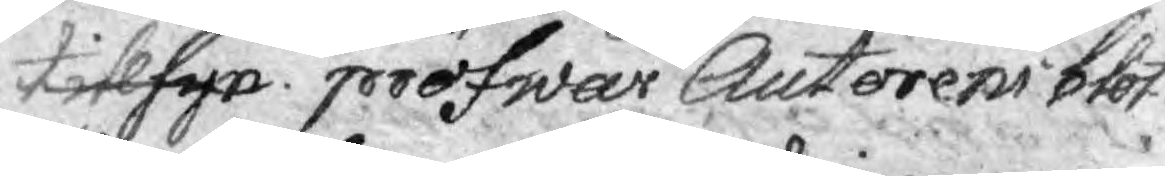tillsyn pröfwar Auctorens blot¬
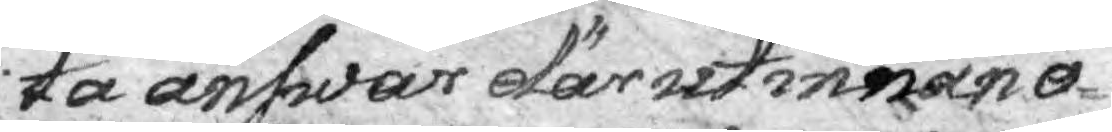ta answar därutinnan o¬
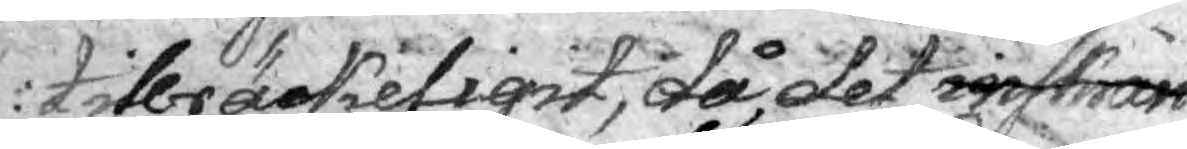tillräckeligit, då det inskrän¬
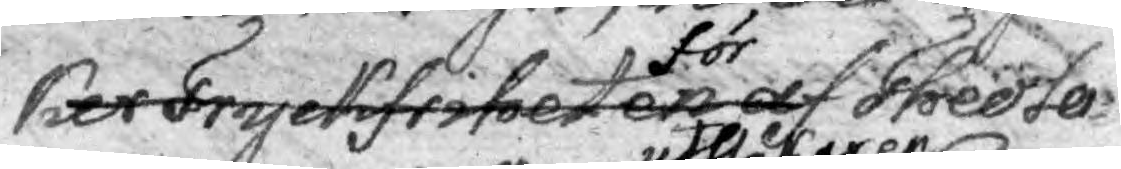ker Tryckfriheten af för Theolo¬
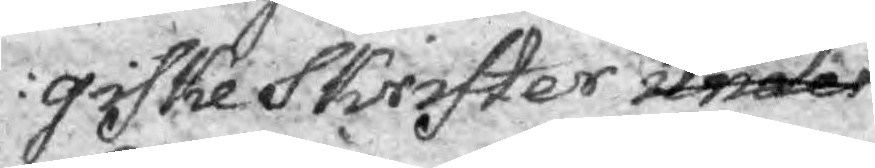giske Skrifter under
